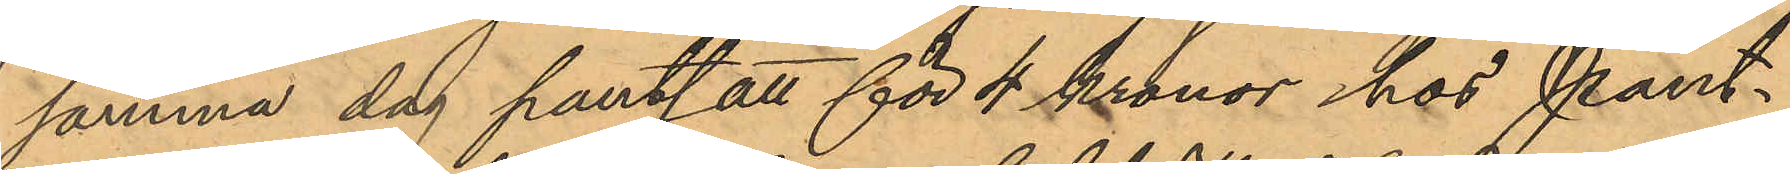samma dag pantsatt för 4 Kronor hos Pant¬
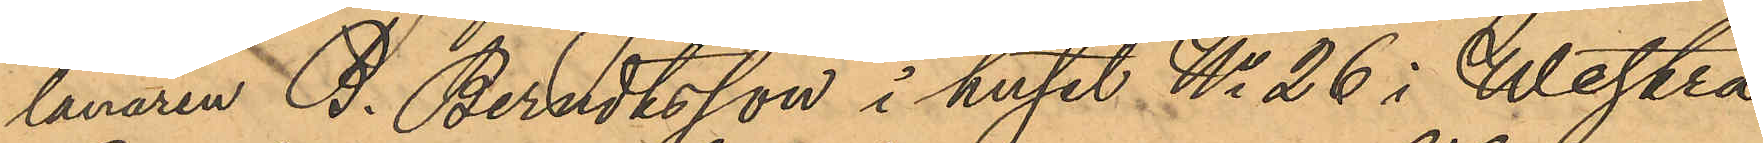lanaren B. Berndtsson i huset No 26 i Westra
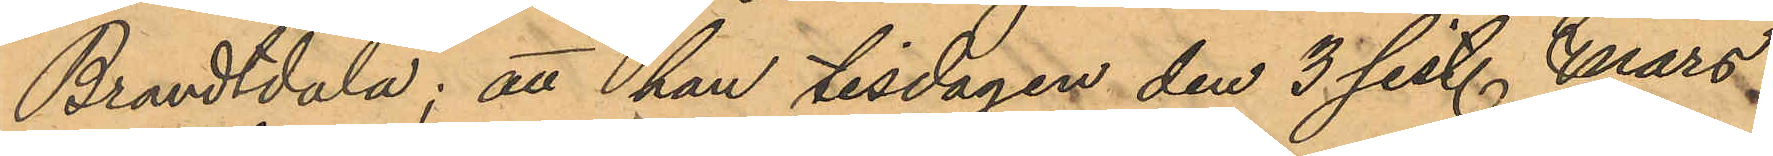Brandtdala; att han tisdagen den 3 sist. Mars
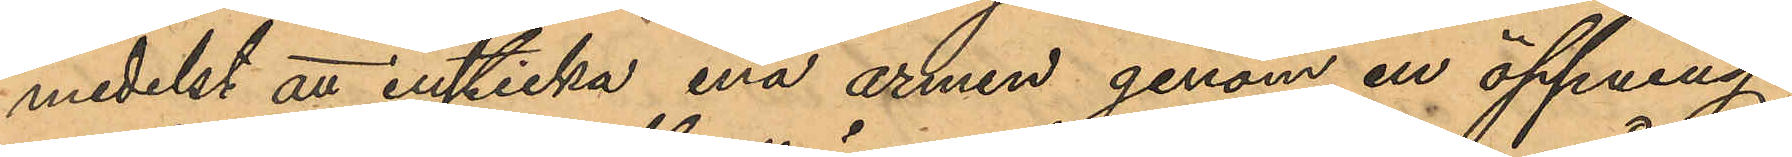medelst att insticka ena armen genom en öppning
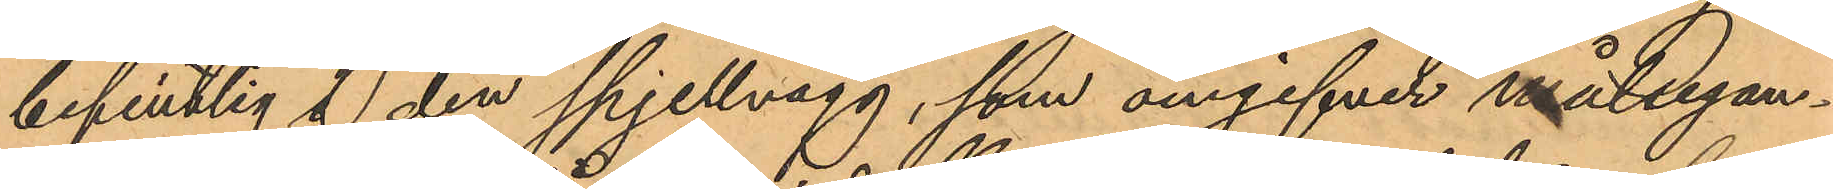befintlig å den spjellvägg, som omgifver målsegan¬
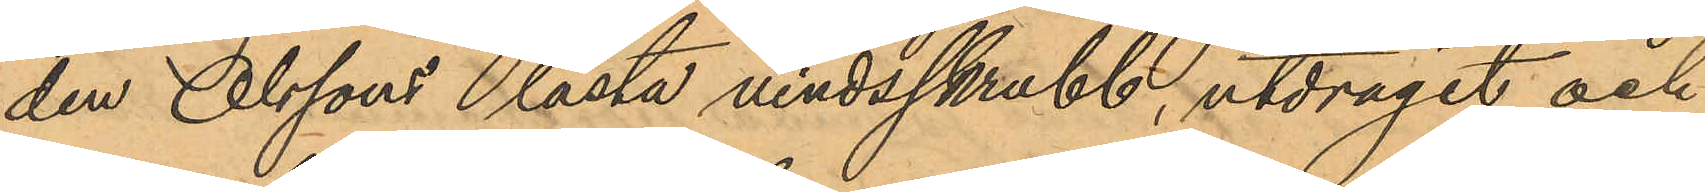den Olssons låsta vindsskrubb, utdragit och
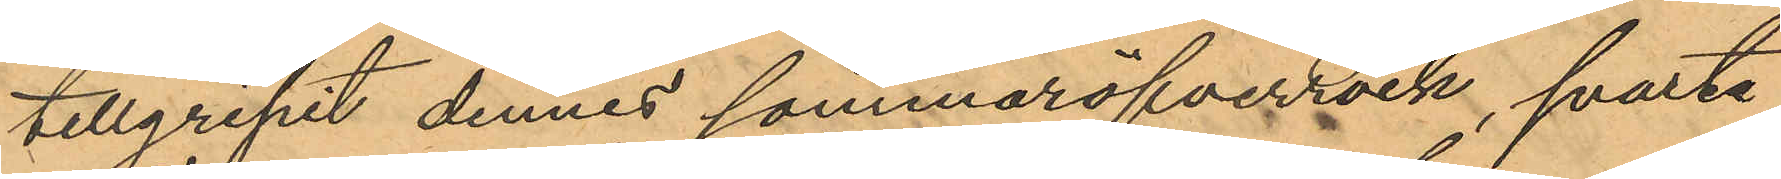tillgripit dennes sommaröfverrock, svarte
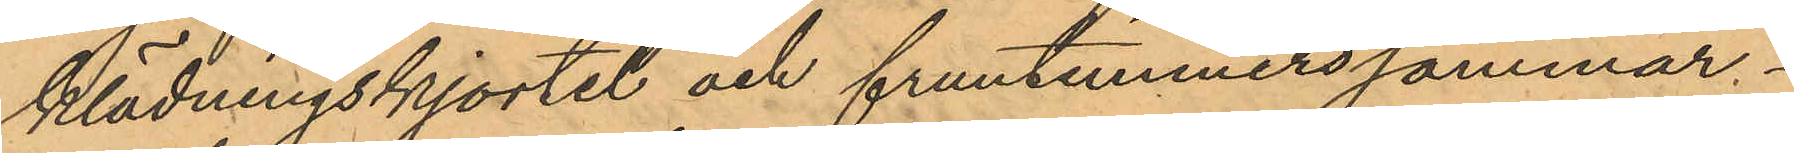klädningskjortel och fruntimmerssommar¬
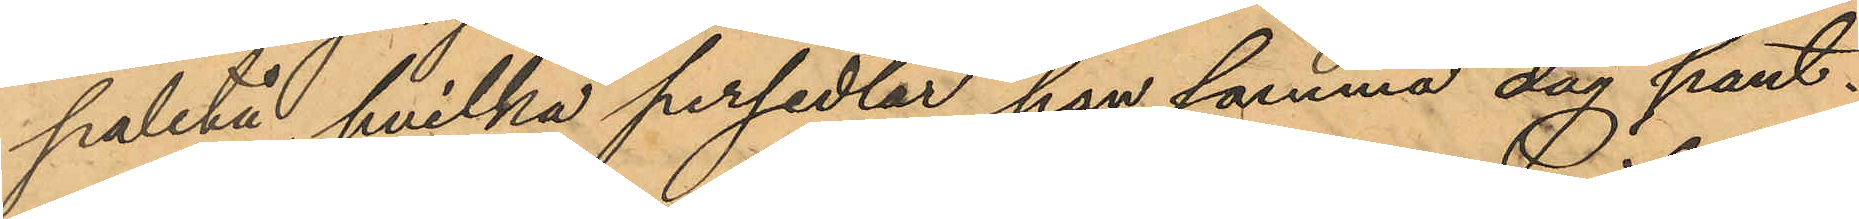paletå, hvilka persedlar han samma dag pant¬
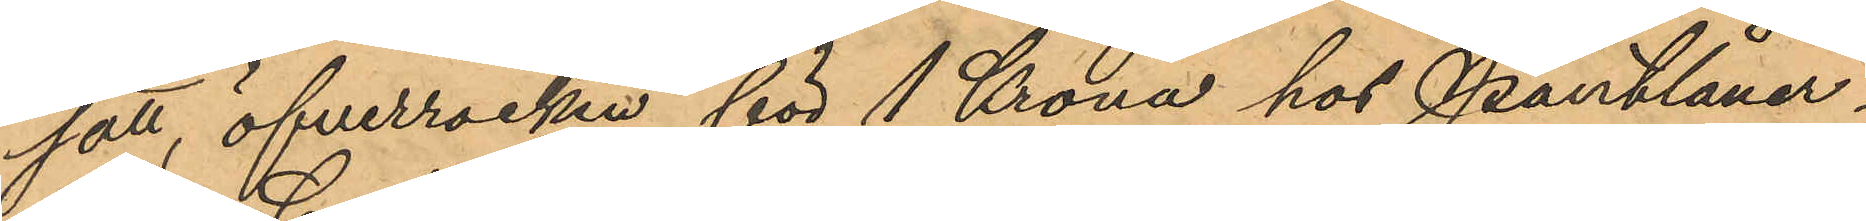satt, öfverrocken för 1 Krona hos Pantlåner¬
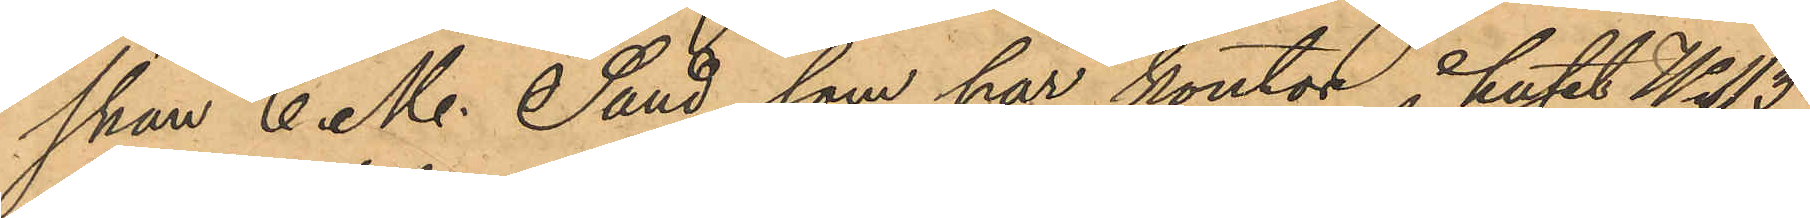skan C. M. Sand, som har kontor i huset No 113
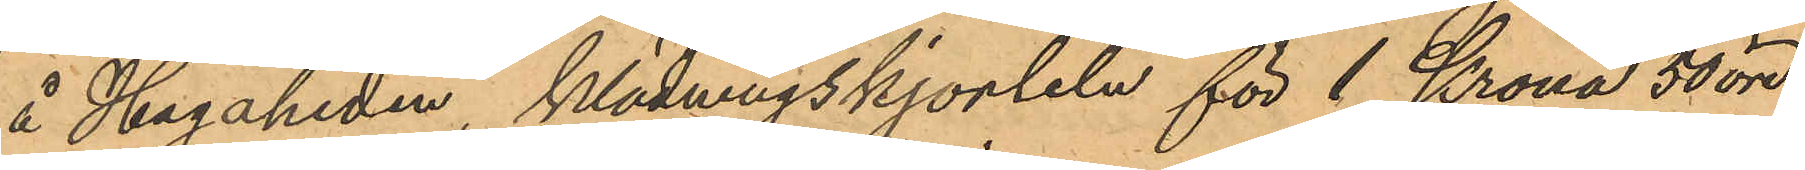å Hagaheden, klädningskjorteln för 1 Krona 50 öre
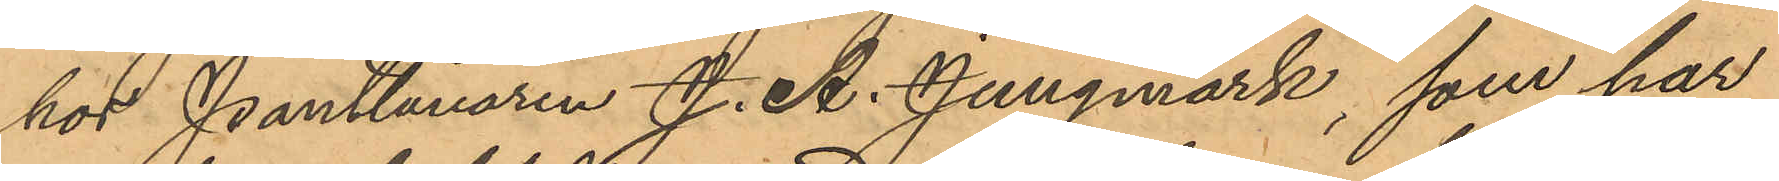hos Pantlånaren J. A. Jungmark, som har
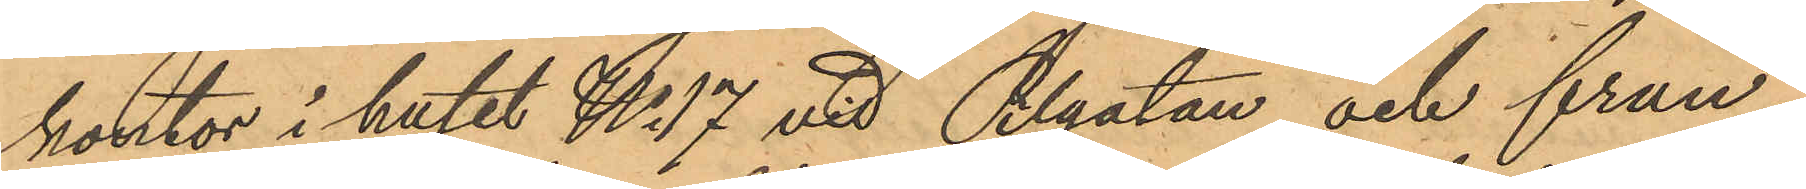kontor i huset No 17 vid Pilgatan och frun¬
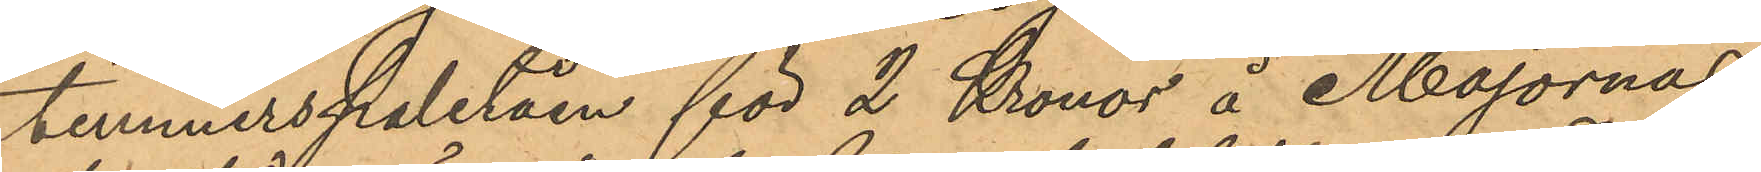timmmerspaletån för 2 Kronor å Majornas
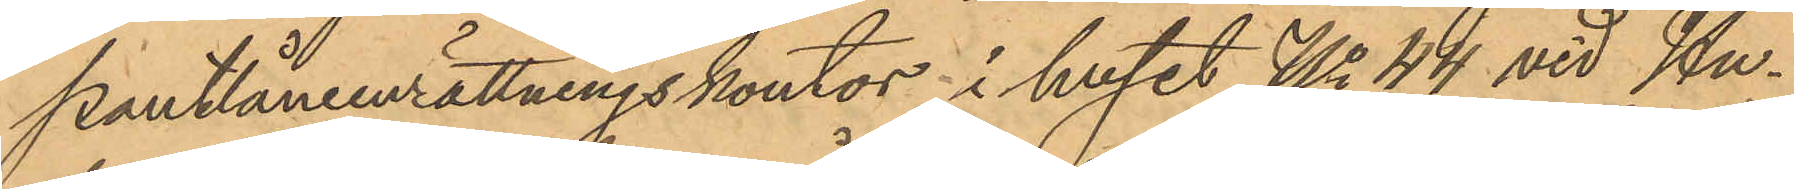Pantlåneenrättningskontor i huset No 44 vid Hu¬
